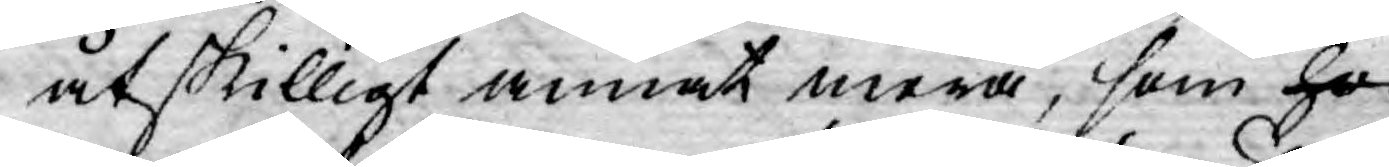åtskilligt annat mera, som ho¬
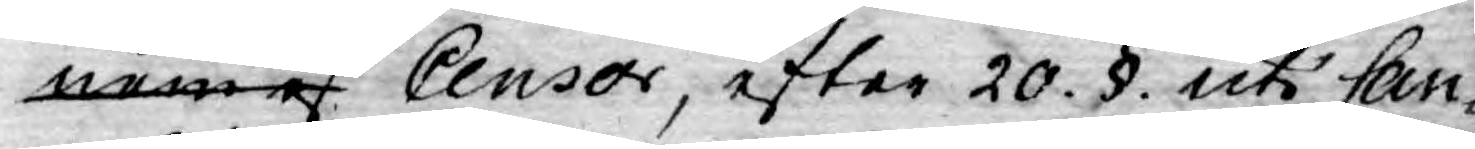nom af Censor, efter 20. §. uti Can¬
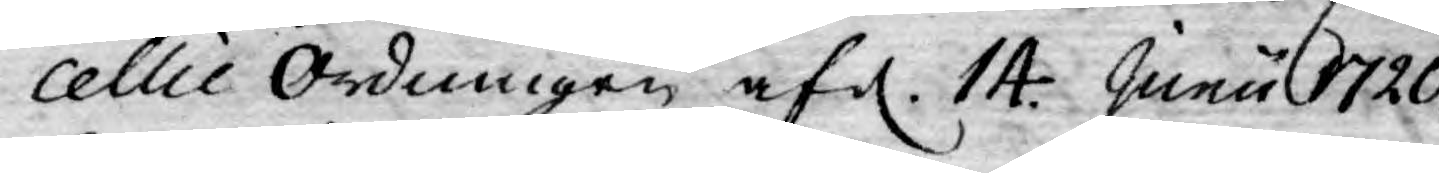cellie Ordningen af d. 14 Junii 1720
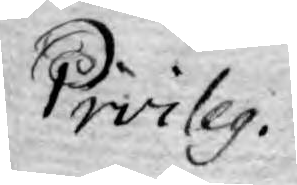Pivileg.
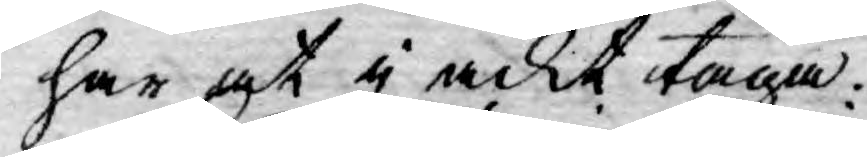har at i ackt taga.
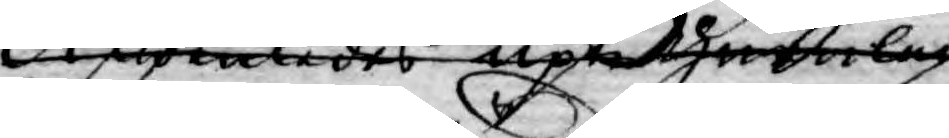Äwenledes uplel. Huruledes
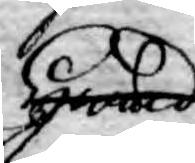Hwad
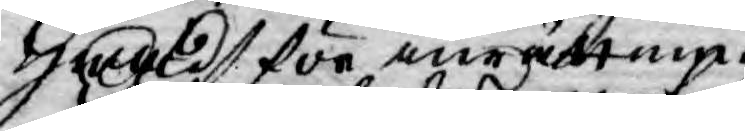Hwad för inrättning
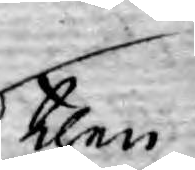then
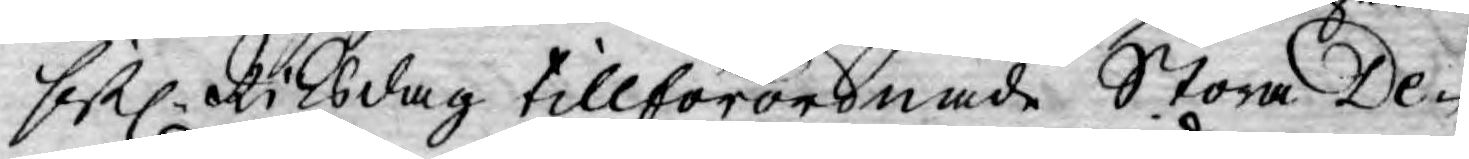sistl. Riksdag tillförordnade Stora De-
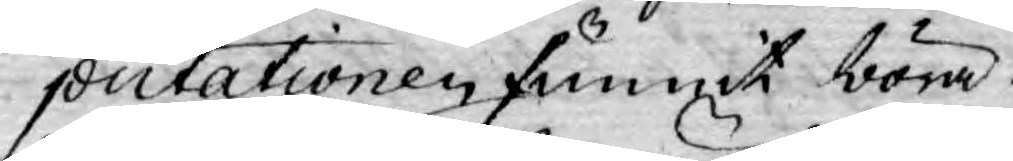putationen funnit böra
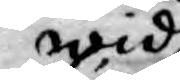wid
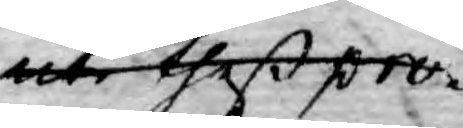uti theß pro¬
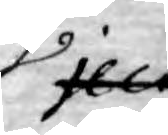ject¬
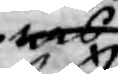ers
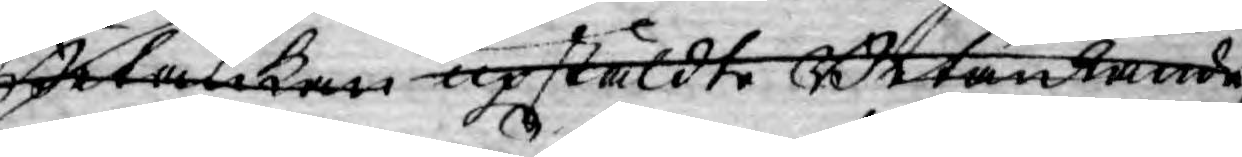Betankan upstäldte Betänkande
